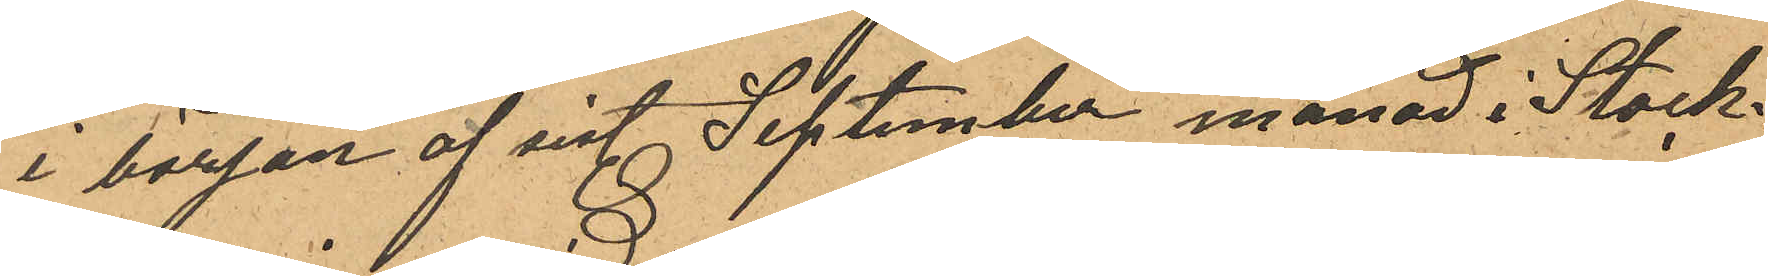i början af sist. September månad i Stock¬
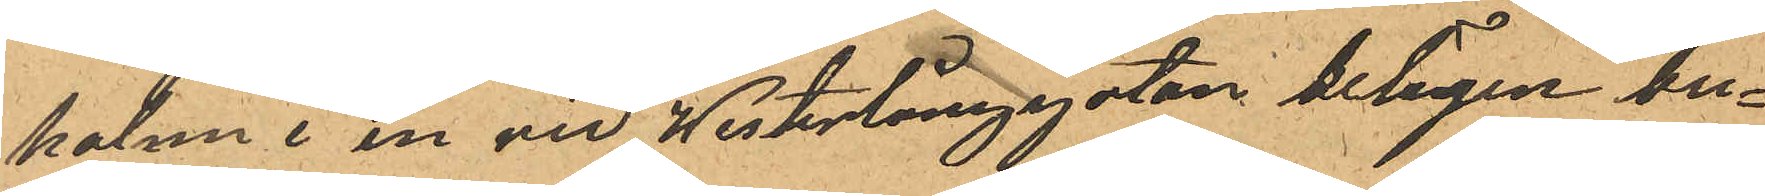holm i en vid Westerlånggatan belägen bu¬
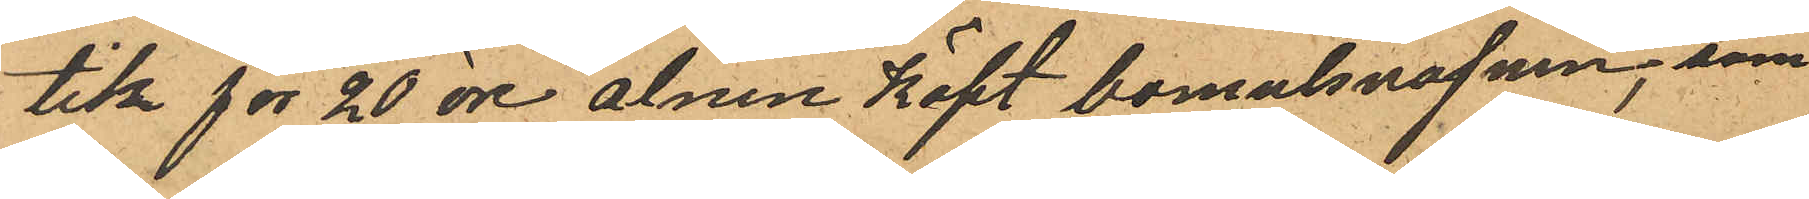tik för 20 öre alnen Köpt bomulsväfven, som
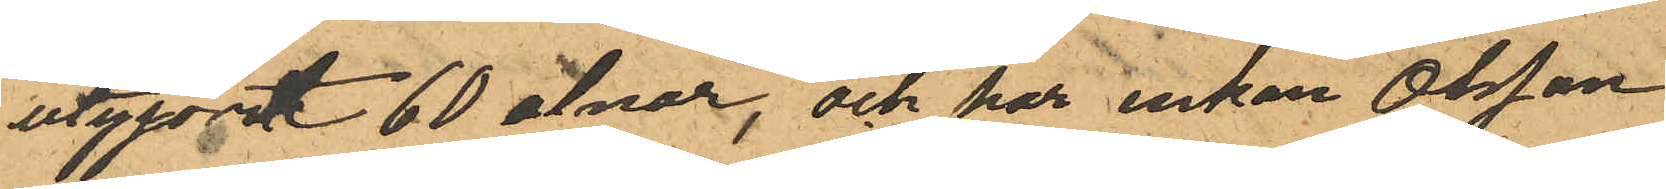utgjort 60 alnar, och har enkan Olsson
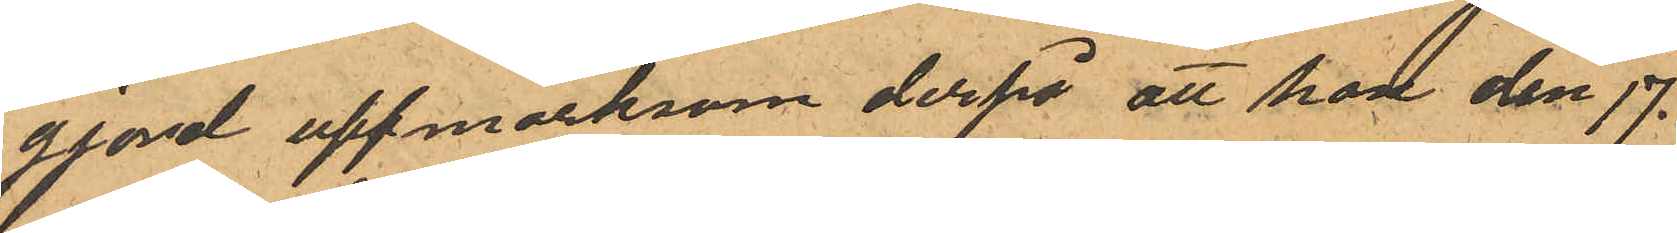gjord uppmärksam derpå att hon den 17.
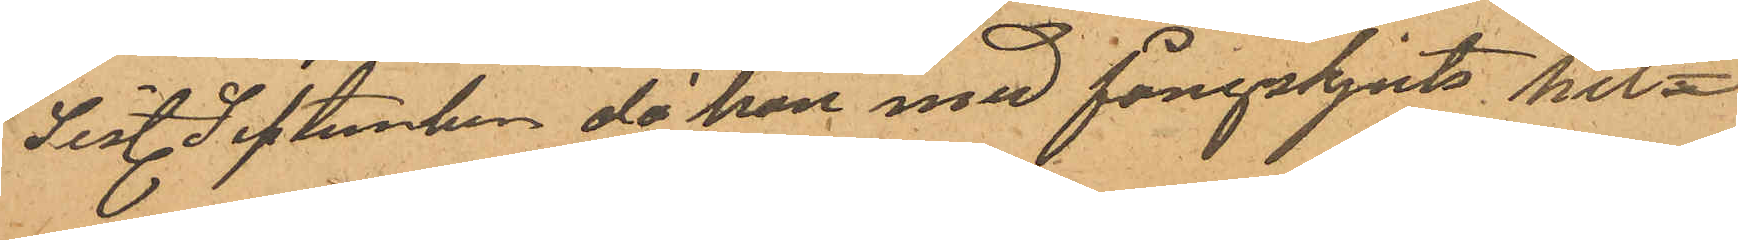sist. September då hon med fångskjuts hit¬
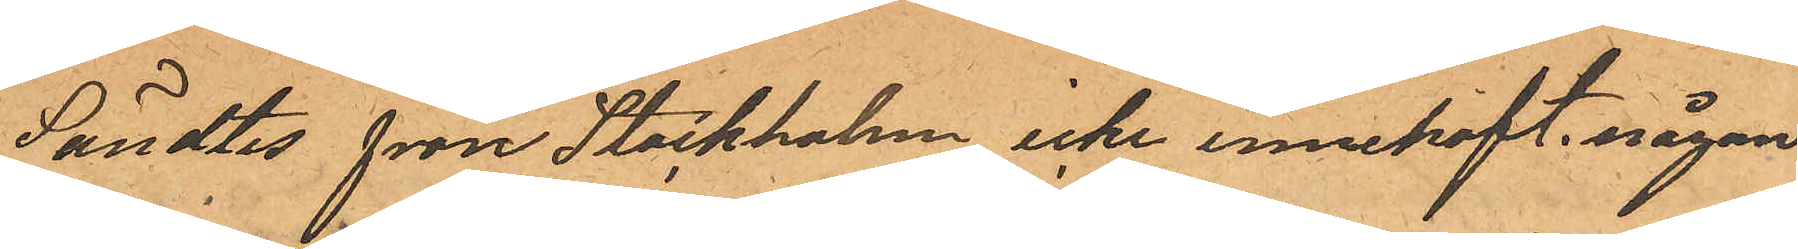Sändtes från Stockholm, icke innehaft någon
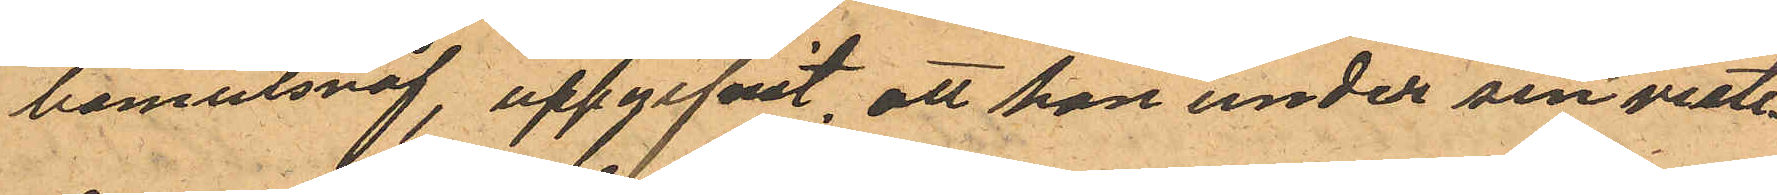bomulsväf, uppgifvit, att hon under sin viste¬
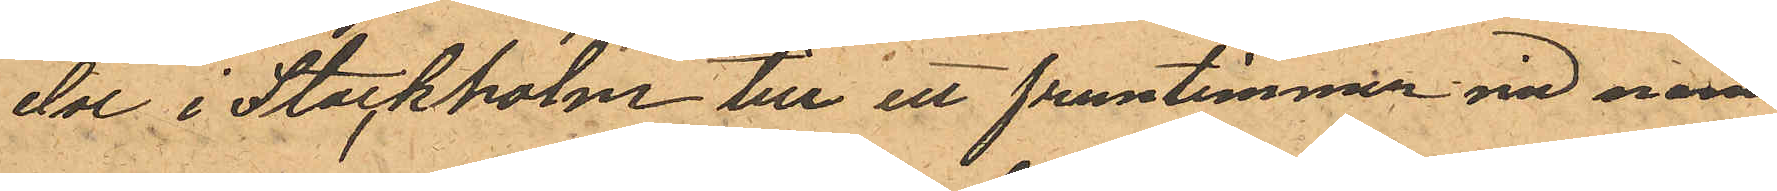else i Stockholm till ett fruntimmer vid namn
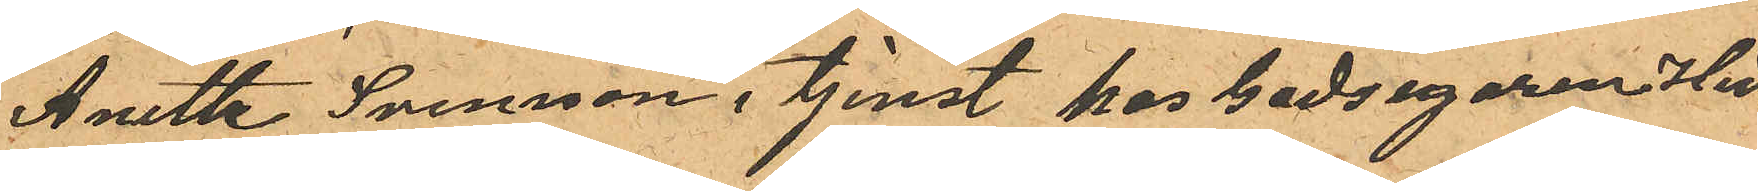Anette Svenson i tjenst hos Godsegaren Hed¬
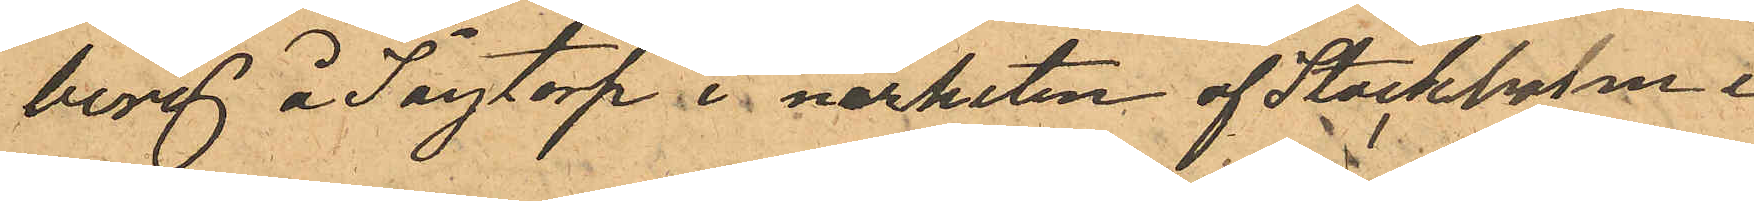berg å Sågtorp i närheten af Stockhom i
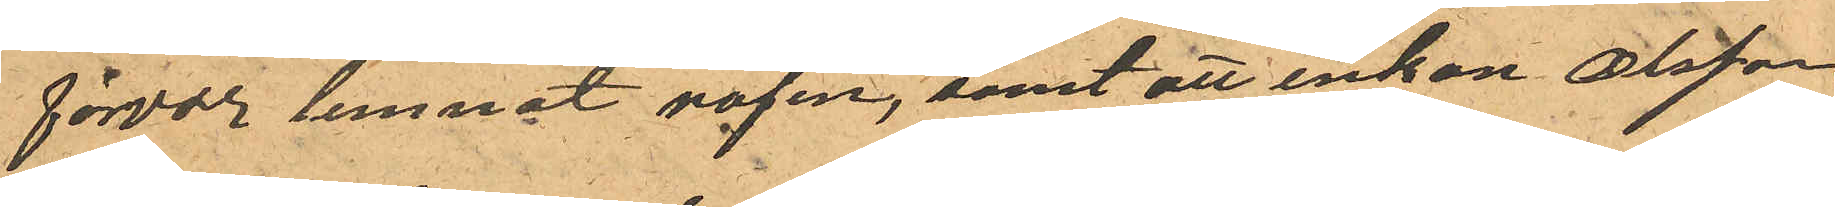förvar lemnat väfen, samt att enkan Olsson
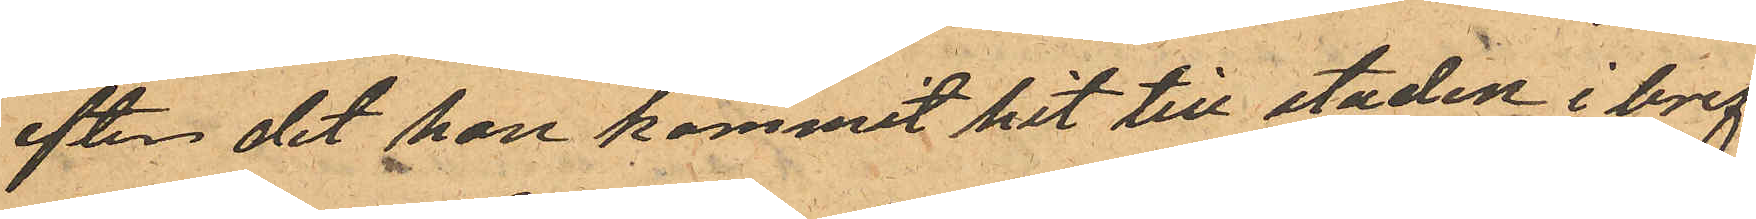efter det hon kommit hit till staden i bref
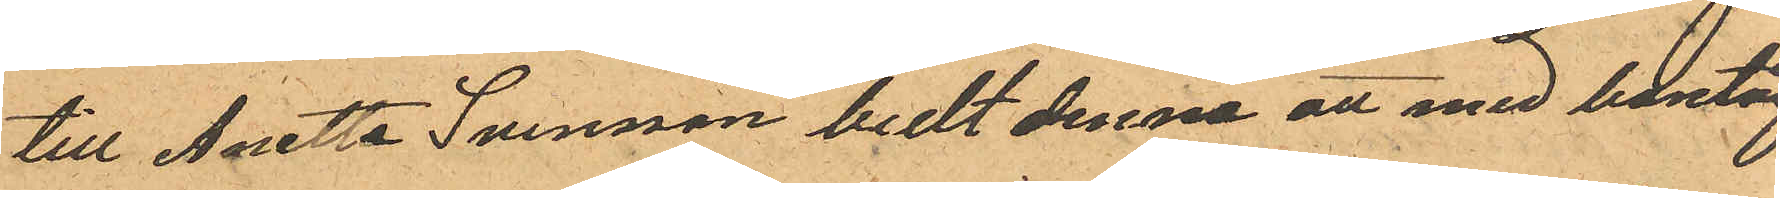till Anette Svensson bedt denna att med bantåg
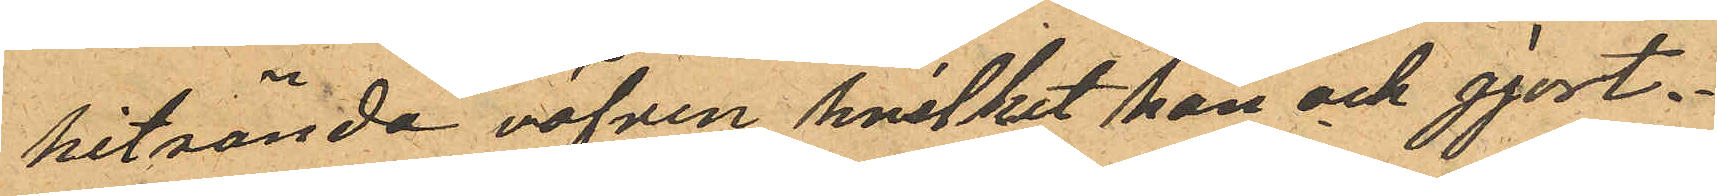hitsända väfven, hvilket hon ock gjort.
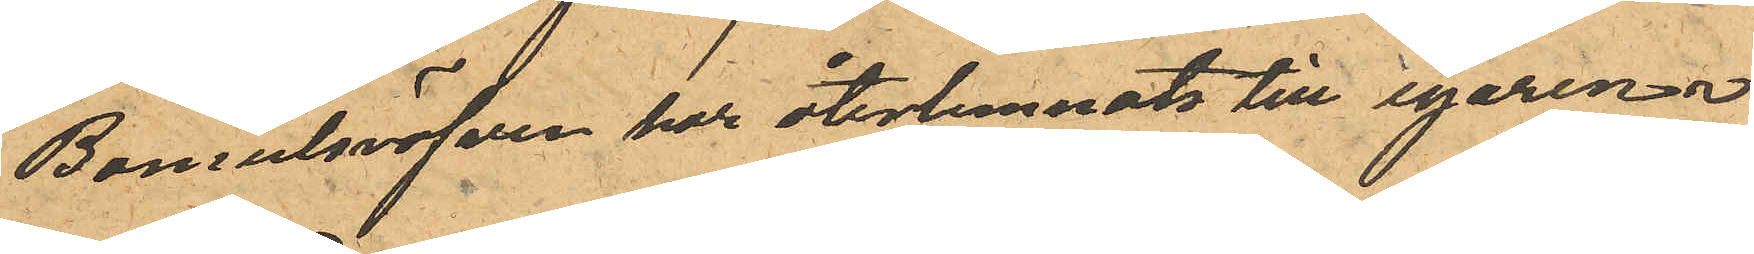Bomulsväfven har återlemnats till egaren.
